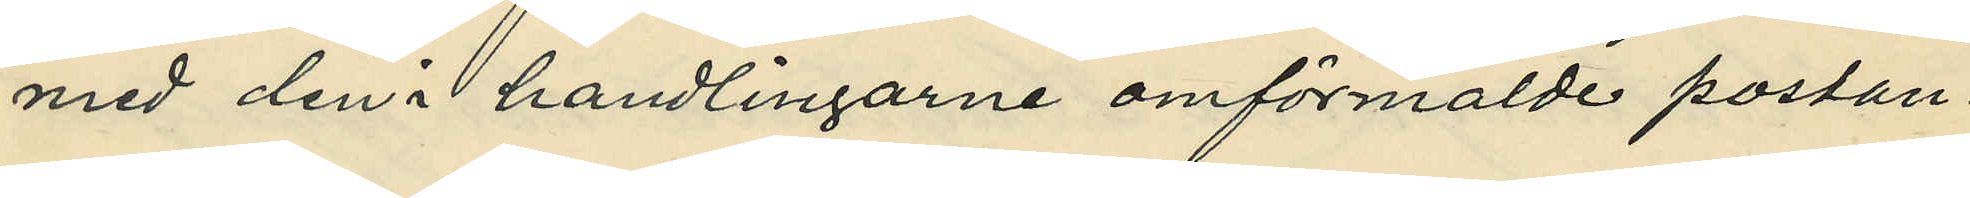med den i handlingarne omförmälde postan¬
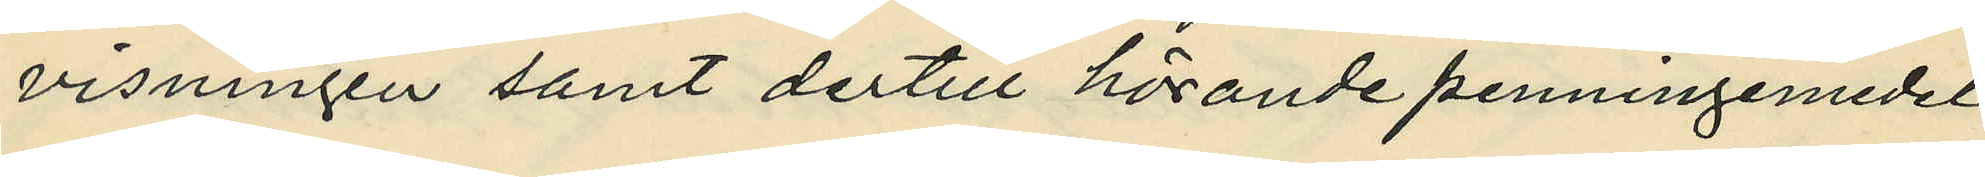visningen samt dertill hörande penningemedel.
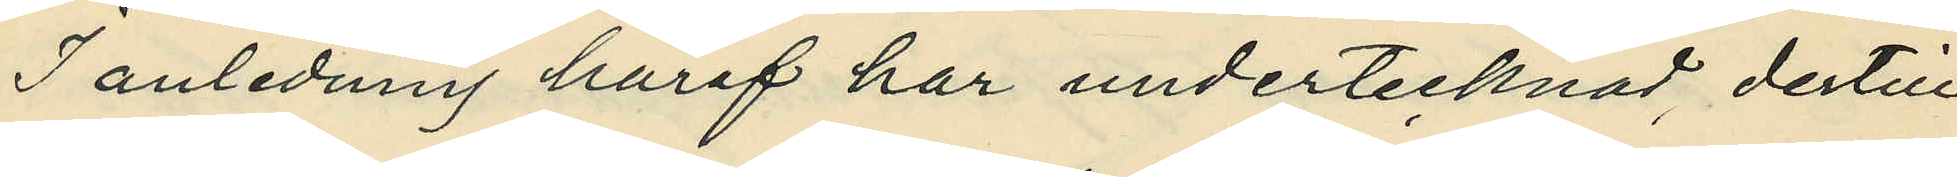I anledning häraf har undertecknad dertill
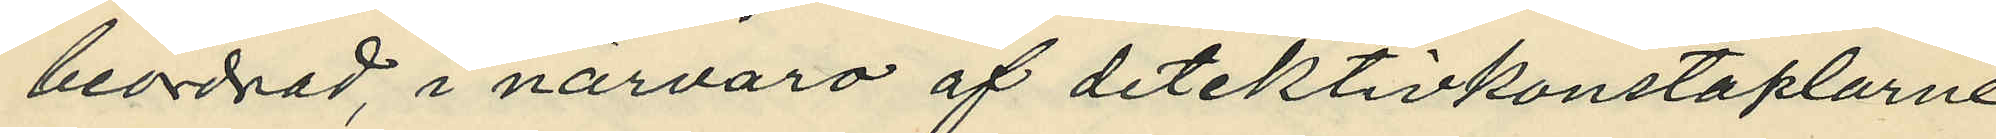beordrad i närvaro af detektivkonstaplarne
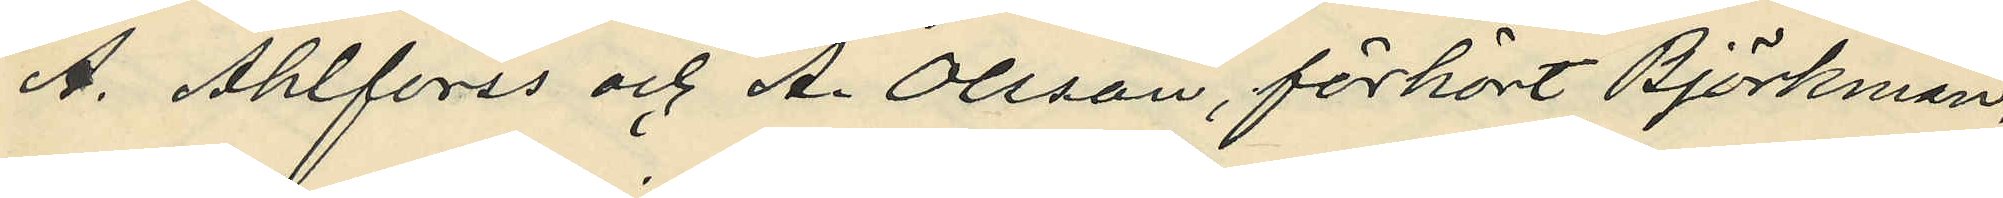A. Ahlforss och A. Olsson, förhört Björkman,
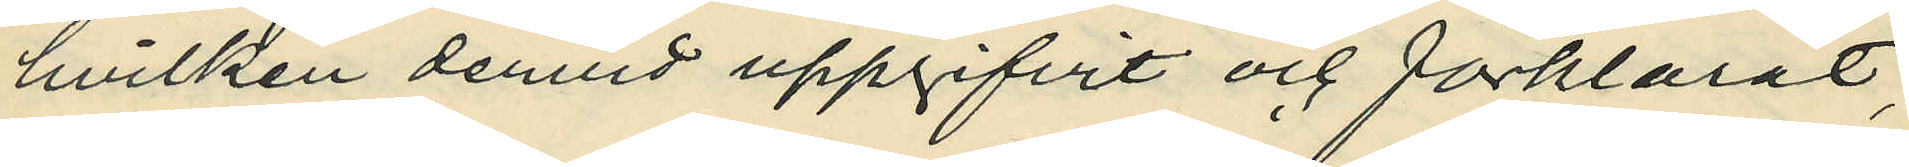hvilken dervid uppgifvit och förklarat,
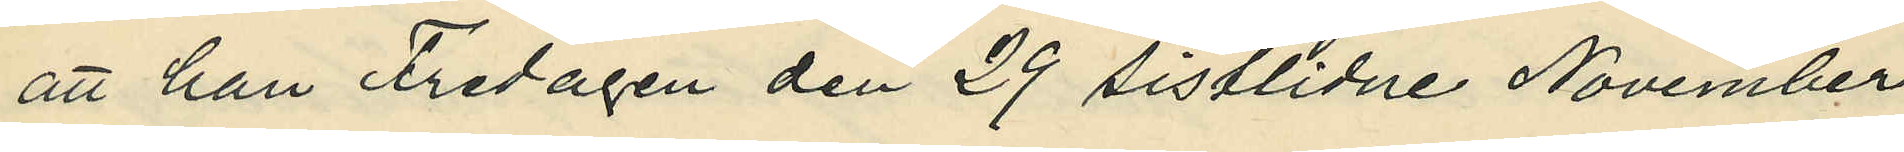att han Fredagen den 29 sistlidne November
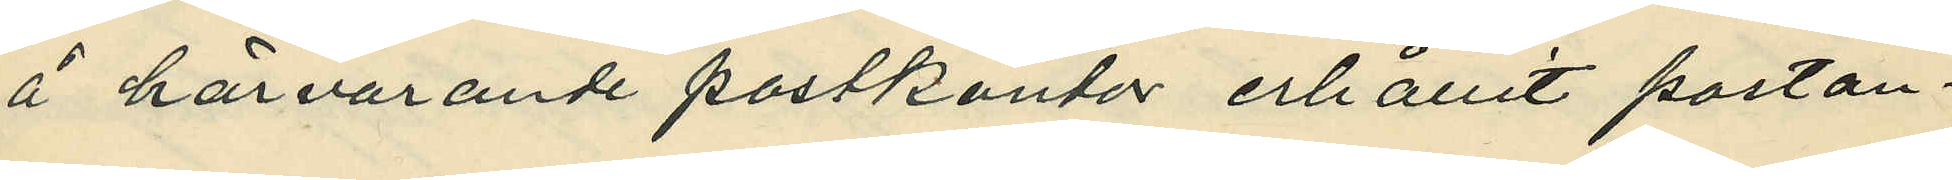å härvarande postkontor erhållit postan¬
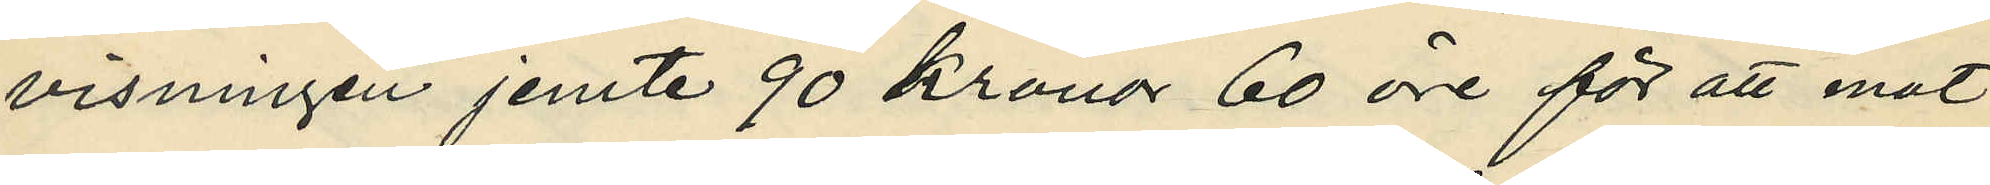visningen jemte 90 Kronor 60 öre för att mot
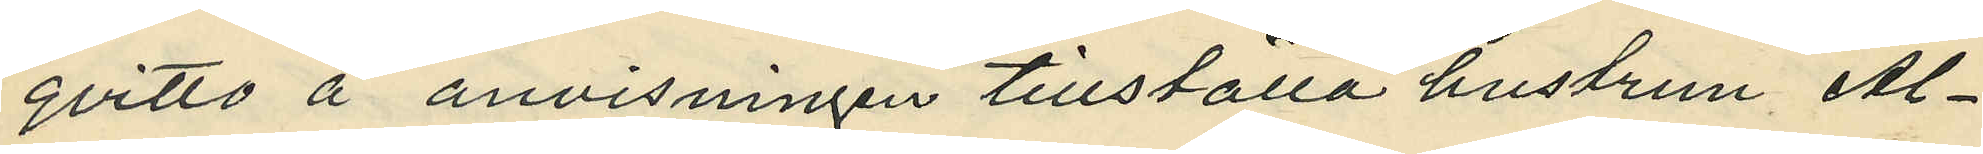qvitto å anvisningen tillställa hustrun Al¬
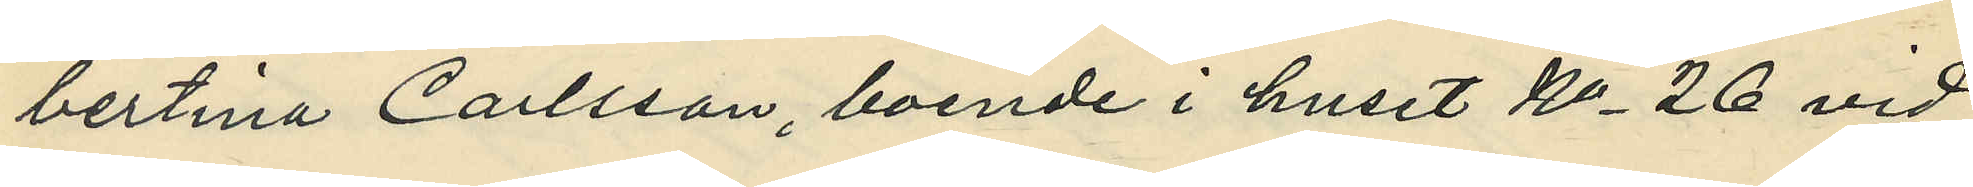bertina Carlsson boende i huset No 26 vid
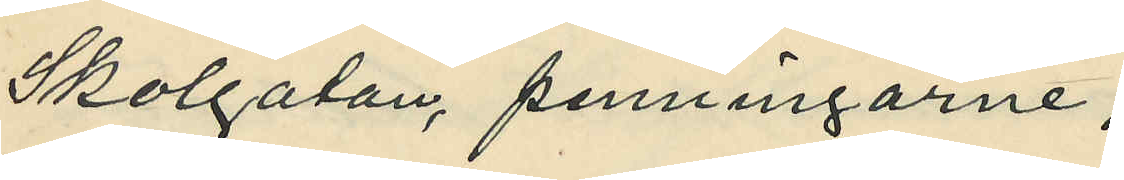Skolgatan, penningarne;
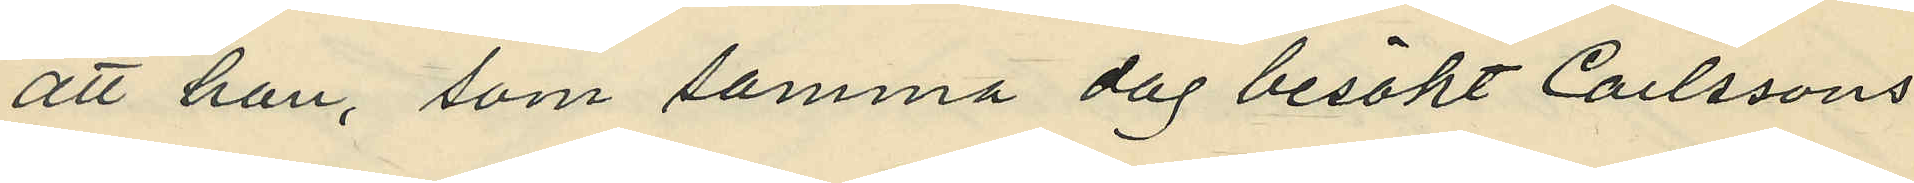att han som samma dag besökt Carlssons
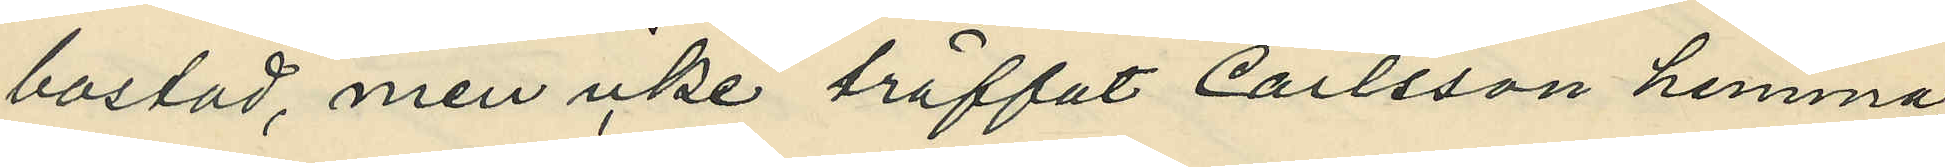bostad men icke träffat Carlsson hemma,
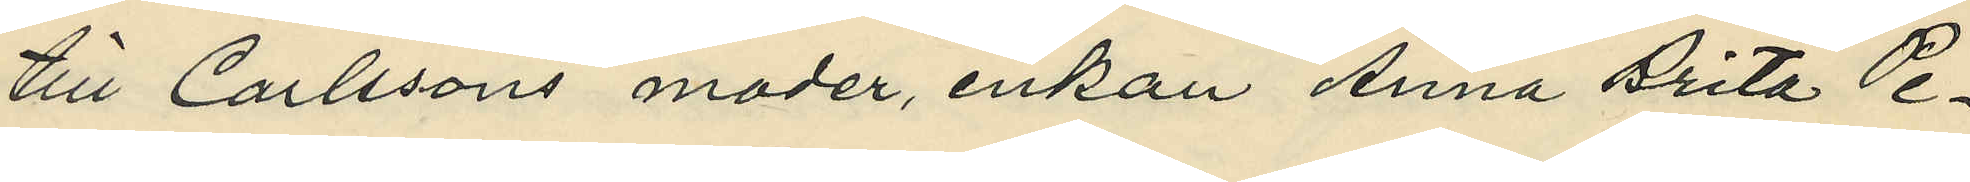till Carlssons moder, enkan Anna Brita Pe¬
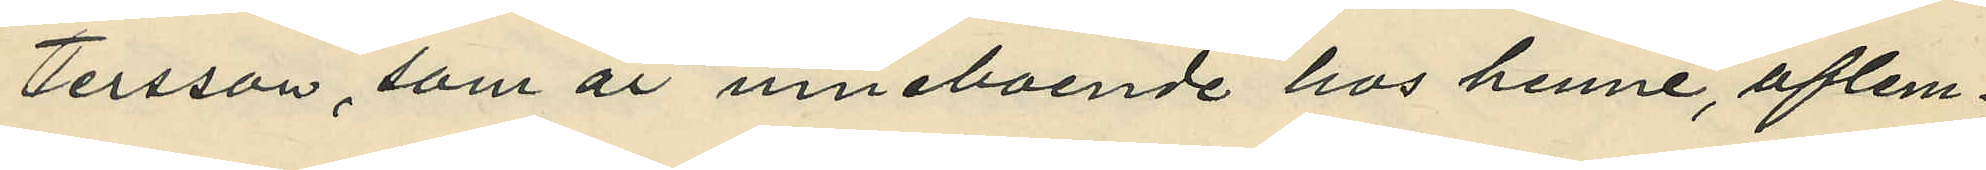ttersson, som är inneboende hos henne, aflem¬
